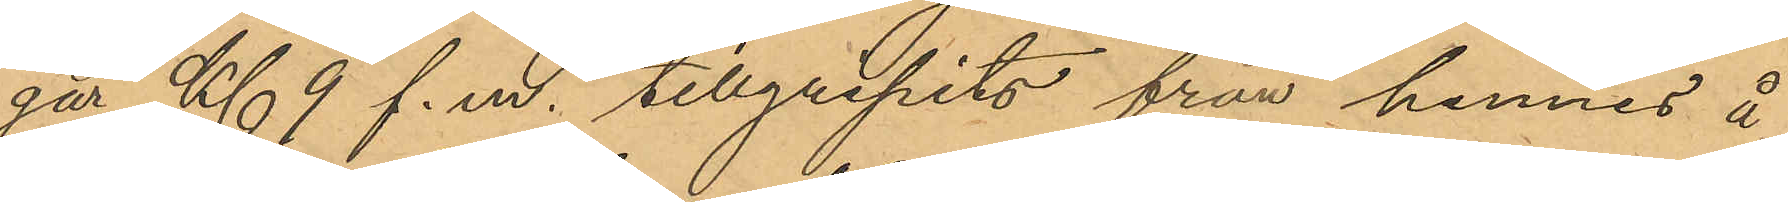går Kl. 9 f. m. tillgripits från hennes å
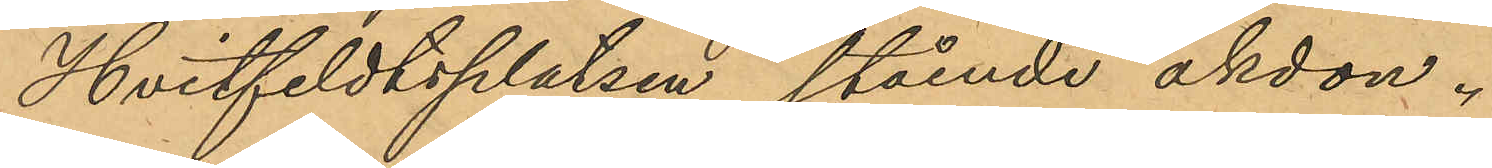Hvitfeldtsplatsen stående åkdon.
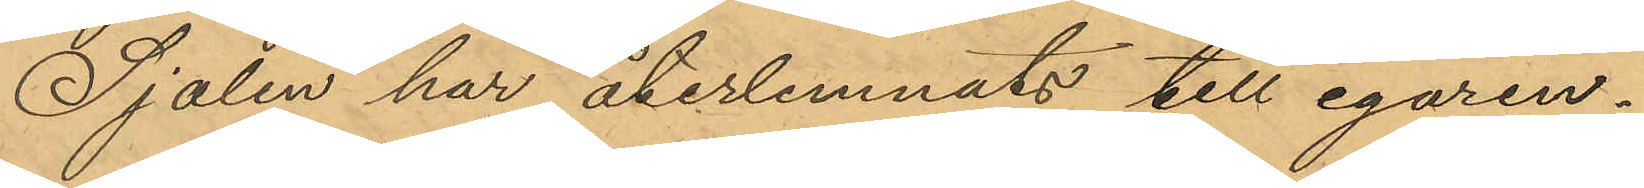Sjalen har återlemnats till egaren.
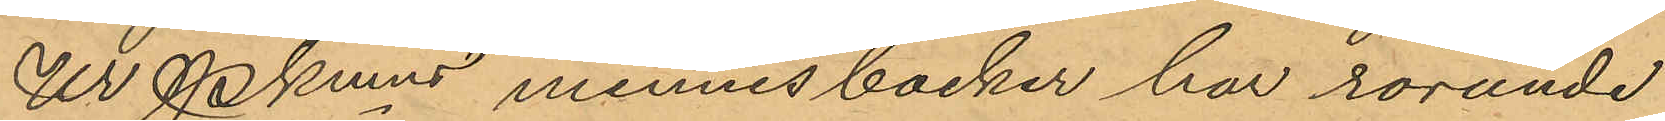Ur Pkmns minnesböcker har rörande
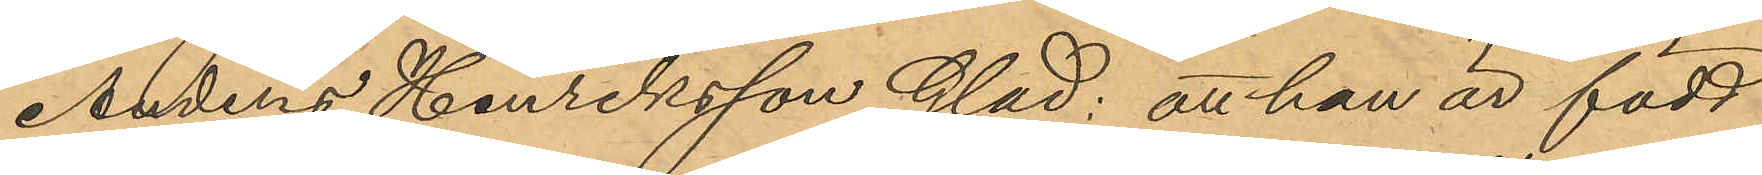Anders Henriksson Glad; att han är född
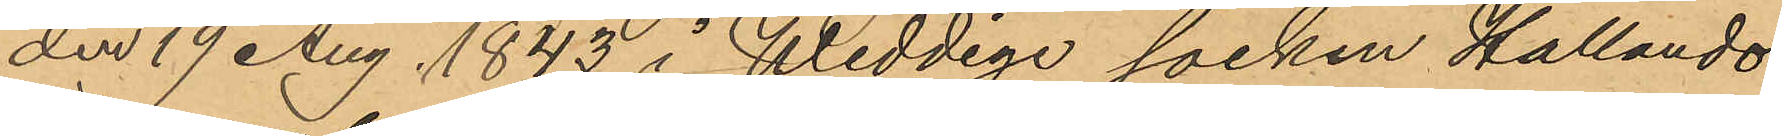den 19 Aug. 1843 i Weddige socken Hallands
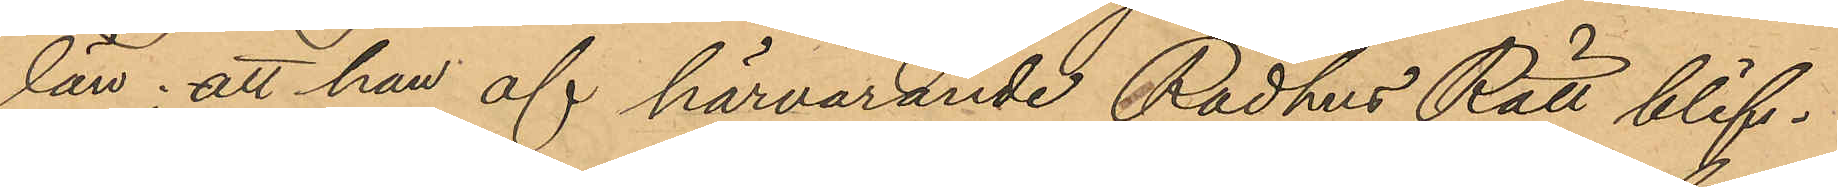län; att han af härvarande Rådhus Rätt blif¬
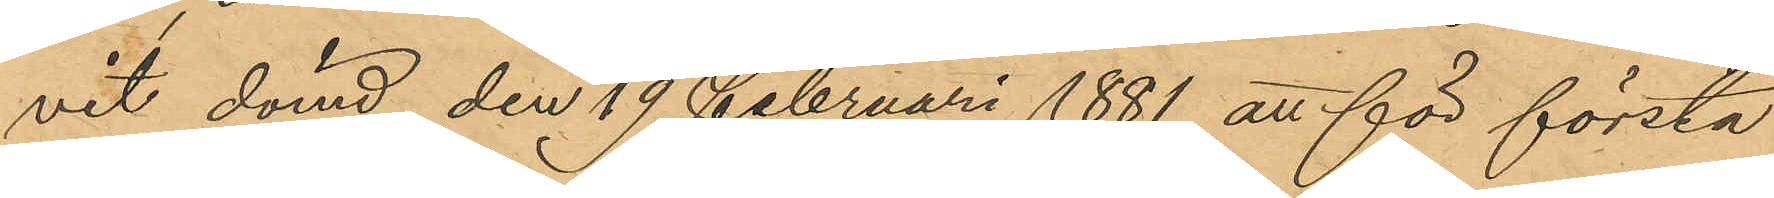vit dömd den 19 Februari 1881 att för första
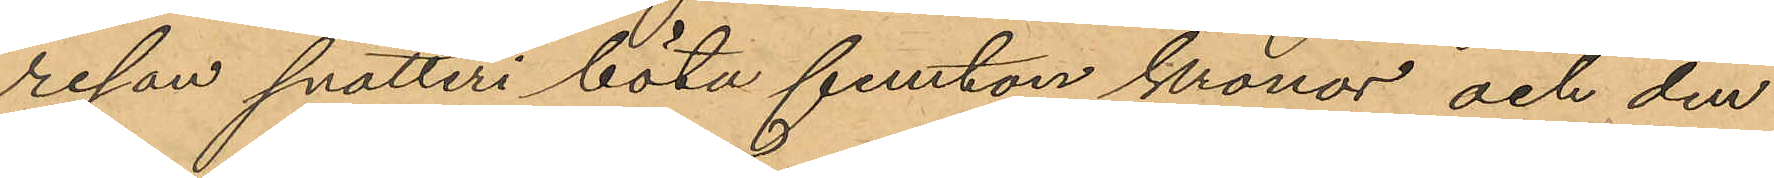resan snatteri böta femton kronor och den
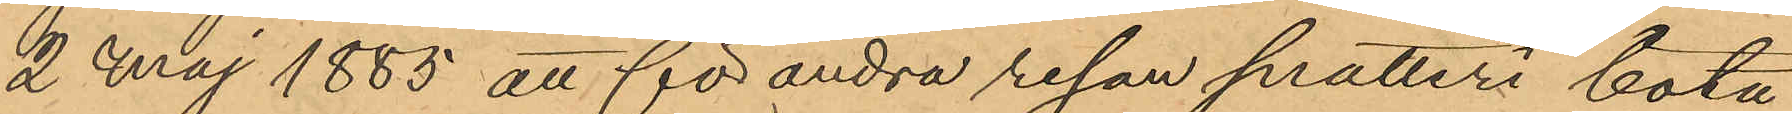2 Maj 1885 att för andra resan snatteri böta
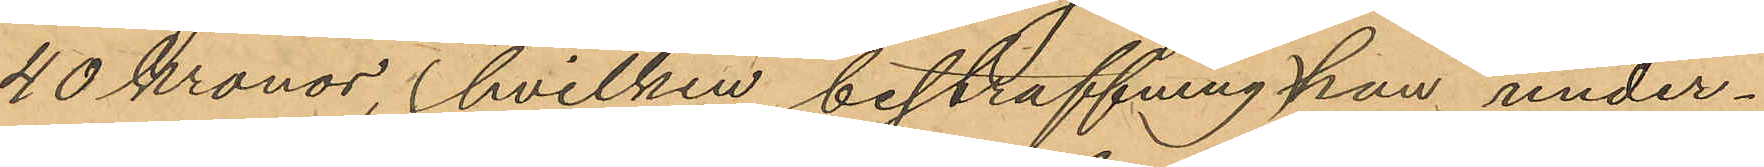40 Kronor, (hvilken bestraffning han under¬
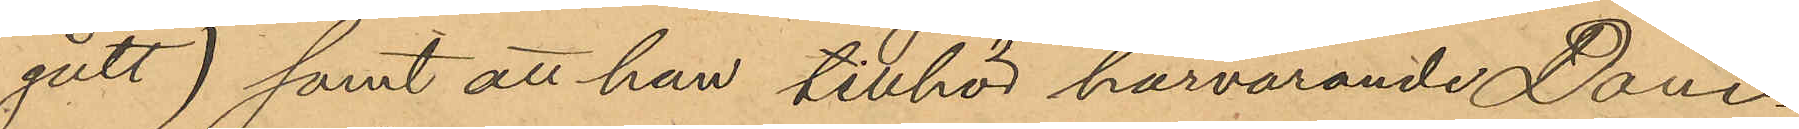gått) samt att han tillhör harvarande Dom¬
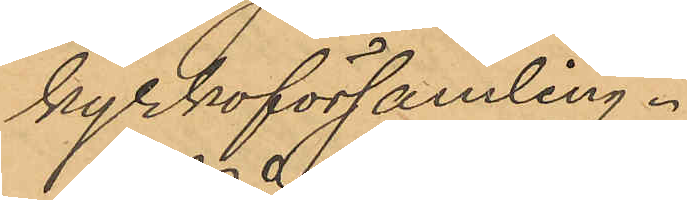kyrkoförsamling.
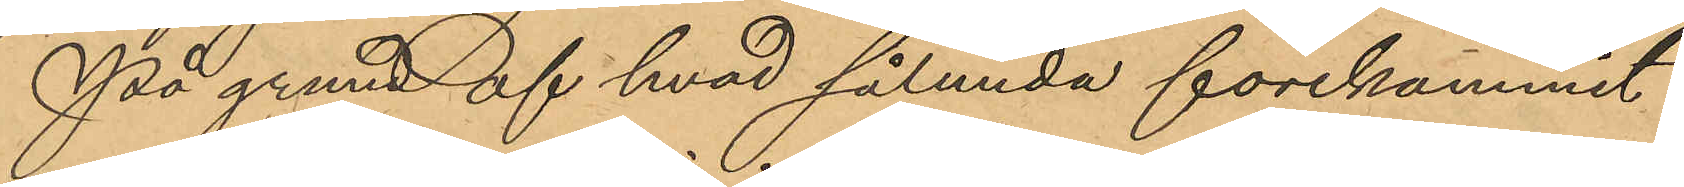På grund af hvad sålunda förekommit
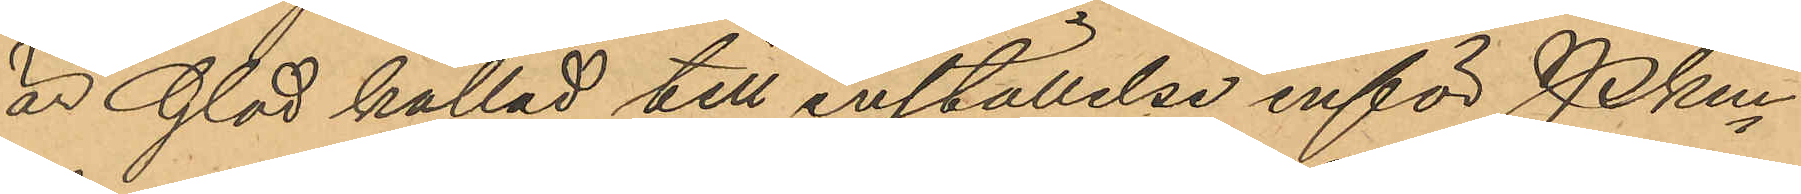är Glad kallad till inställelse inför Pkm
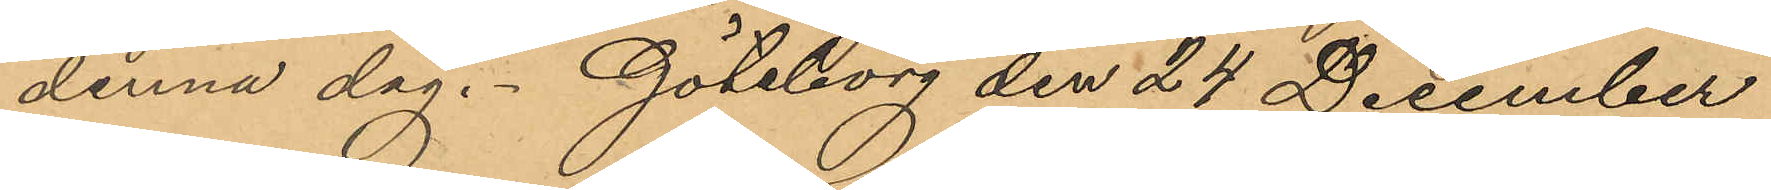denna dag. Göteborg den 24 December
